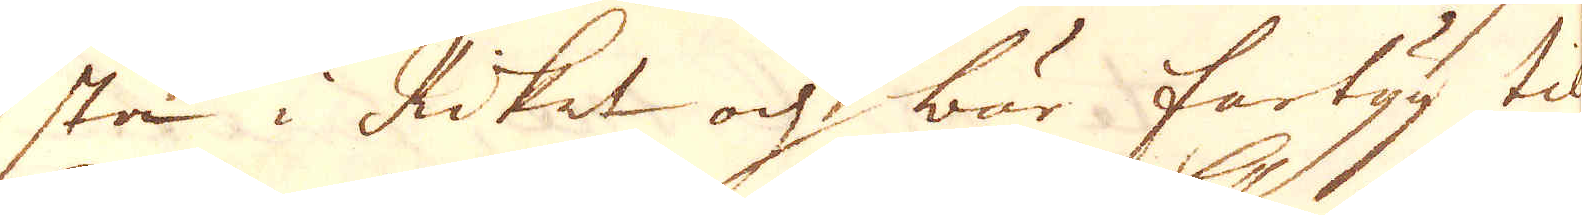sta i Riket och bär fartyg til
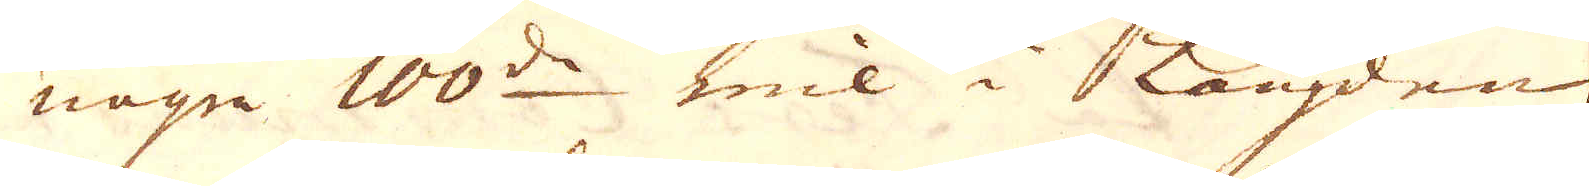några 100de mil i Längden,
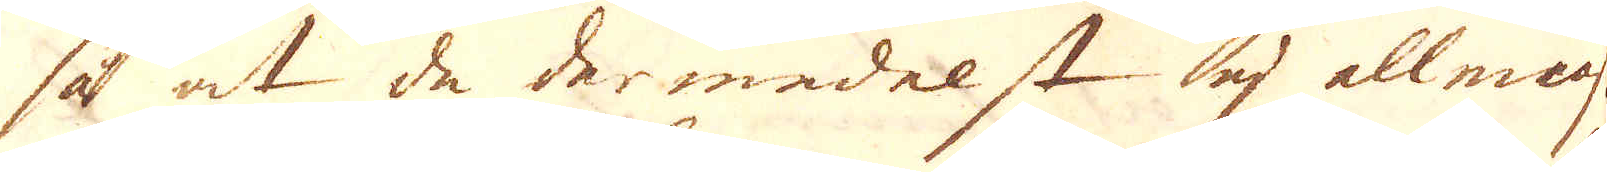så at de dermedelst ej allmeast
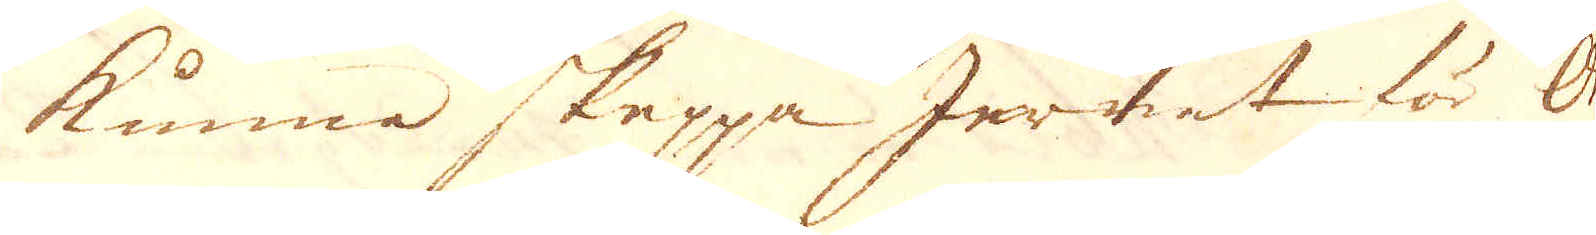kunna skeppa Jernet för Or-
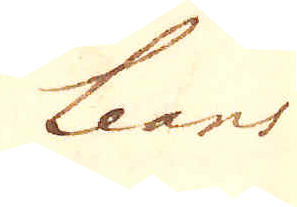leans
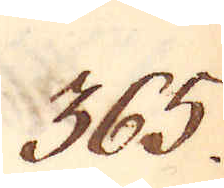365.
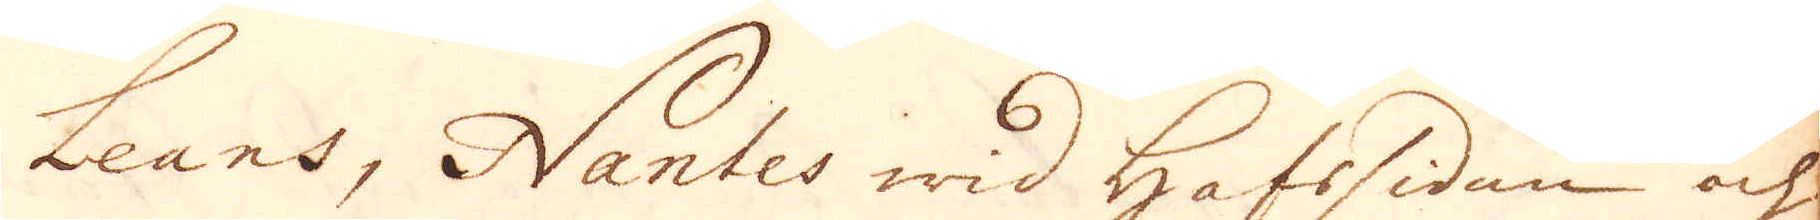Leans, Nantes wid Hafssidan och
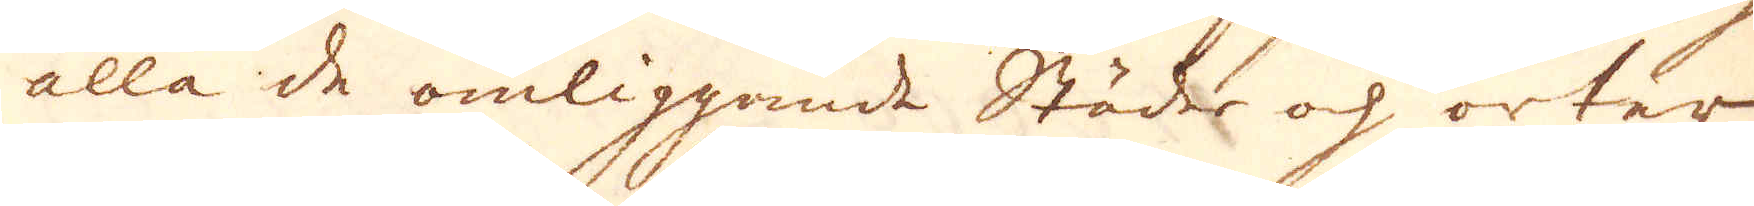alla de omliggande Städer och orter,
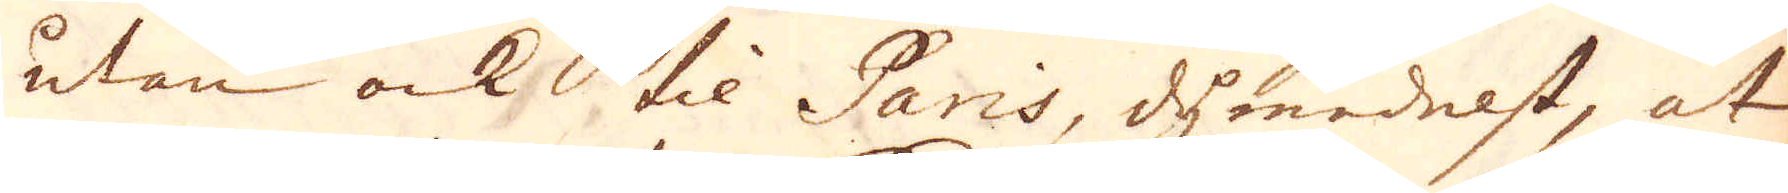utan ock til Paris, dymedelst, at
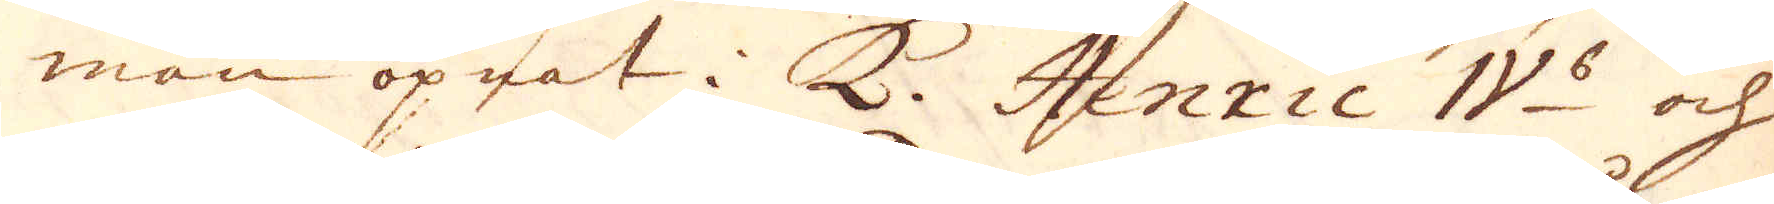man öpnat i K. Henric IV:s och
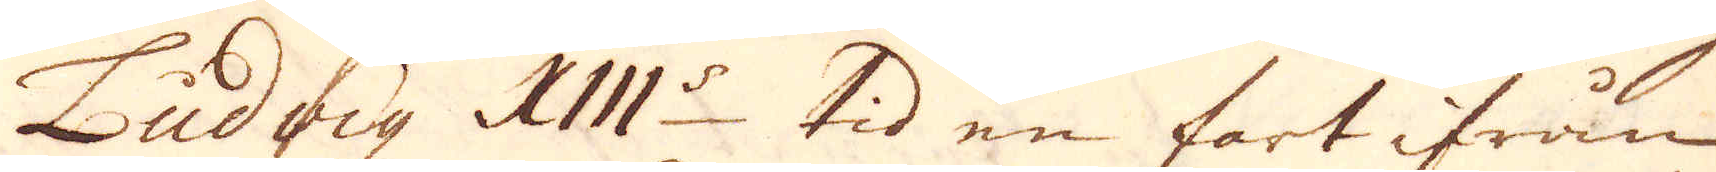Ludvig XII:s tid en fart ifrån
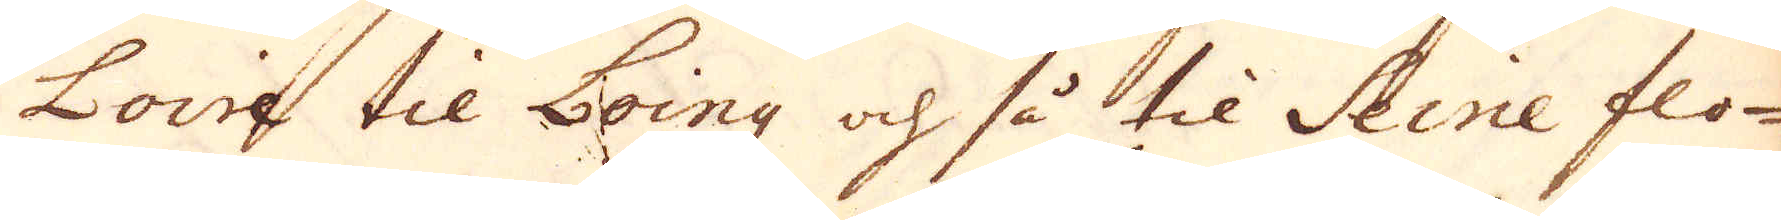Loire til Loing och så til Seine flo-
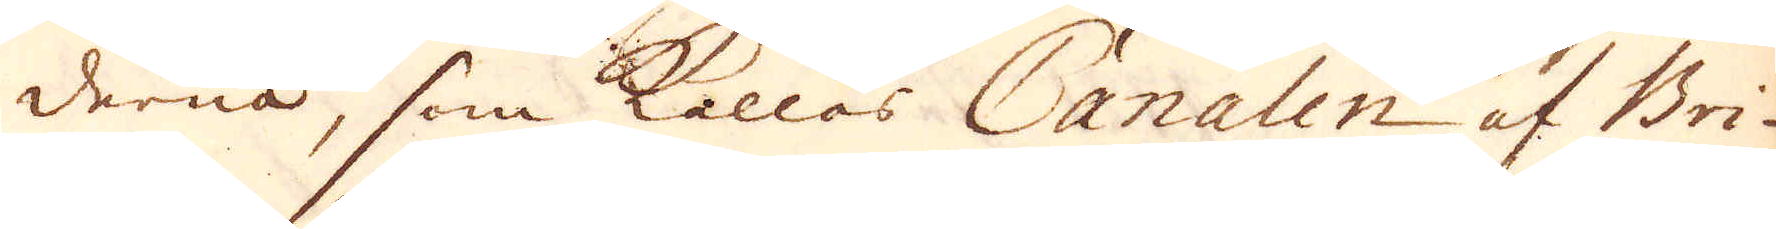derna, som kallas Canalen af Bri-
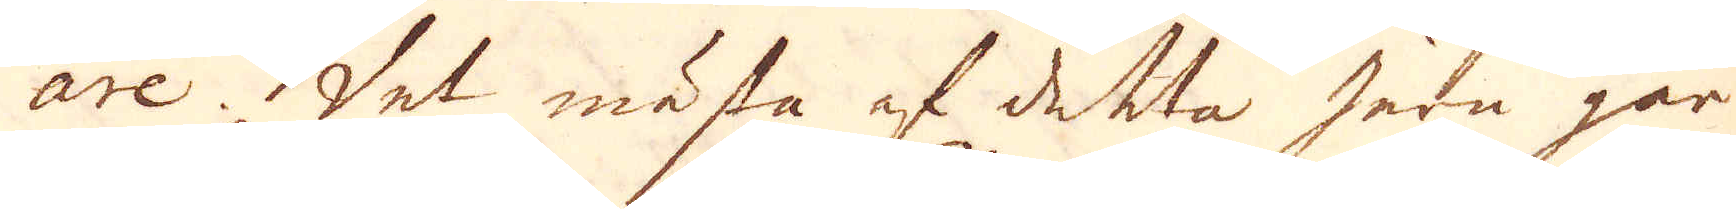are. Det mästa af detta Jern går
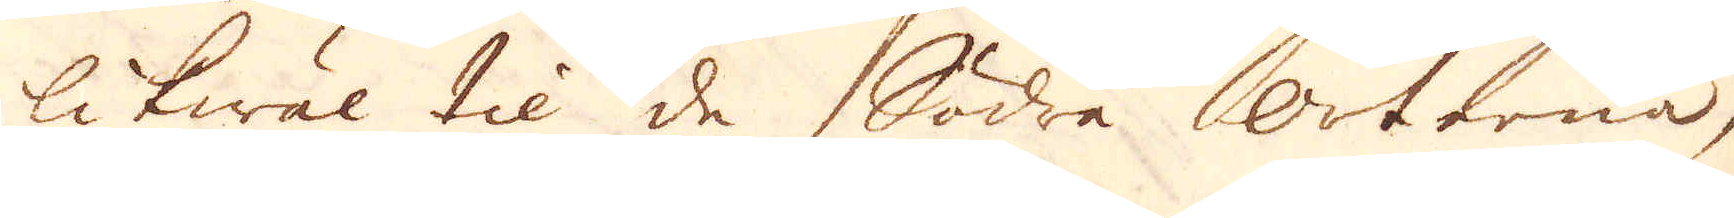likwäl til de Södra orterna,
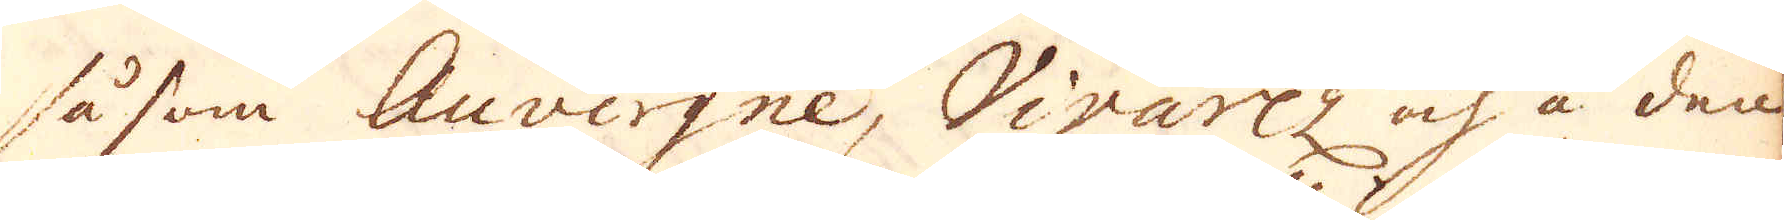såsom Auvergne, Vivarez och å den
